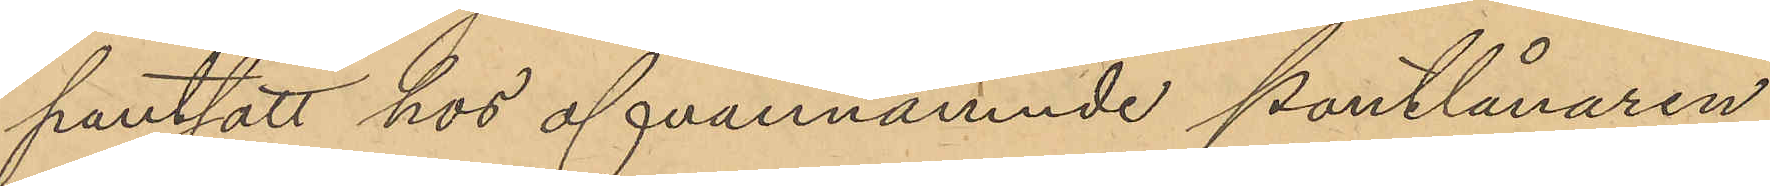pantsatt hos ofvannämnde pantlånaren
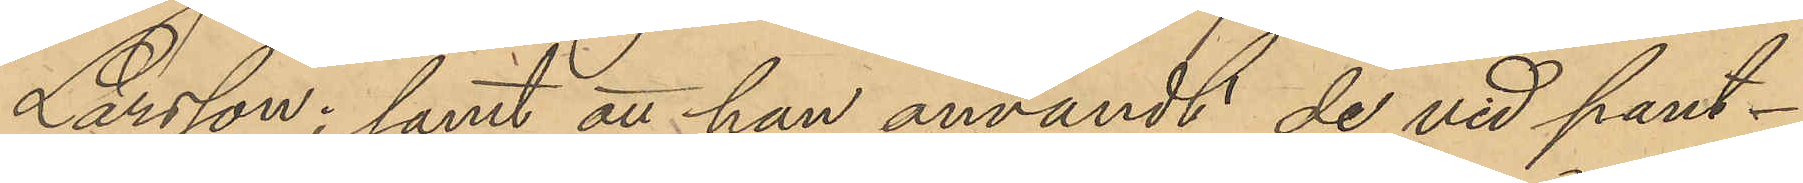Larsson; samt att han användt de vid pant¬
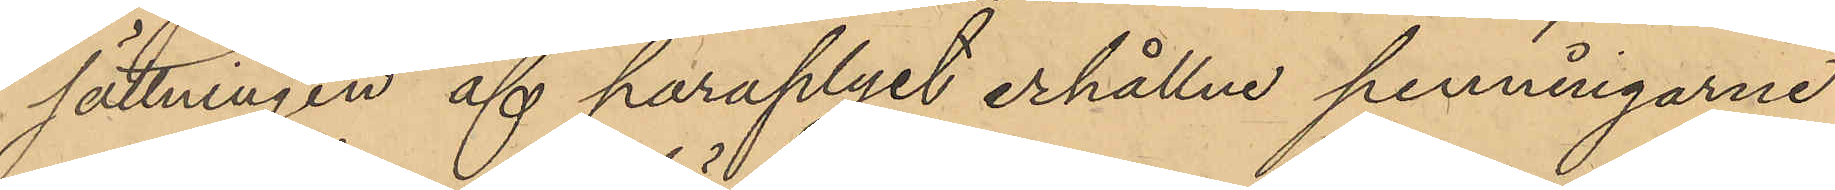sättningen af paraplyet erhållne penningarne
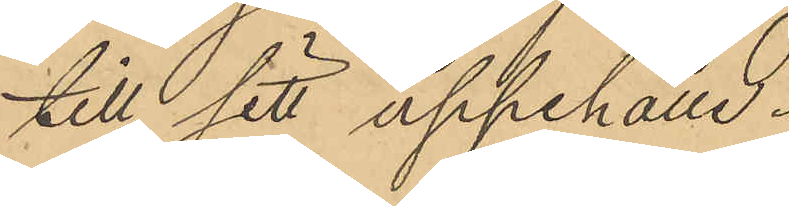till sitt uppehälle.
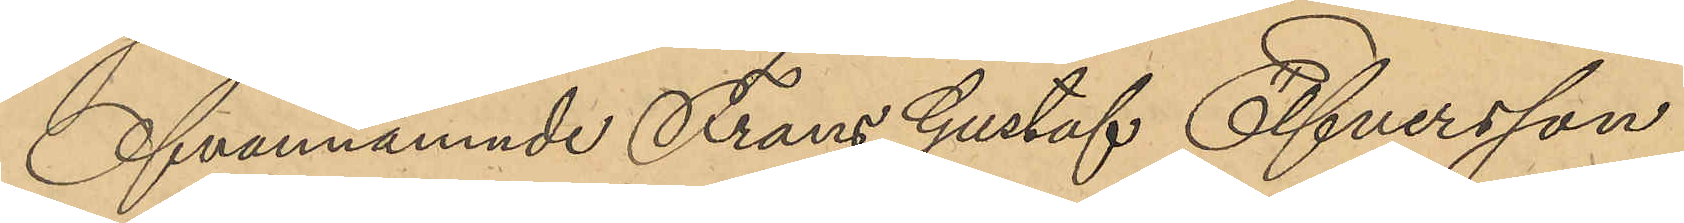Ofvannämnde Frans Gustaf Elfversson
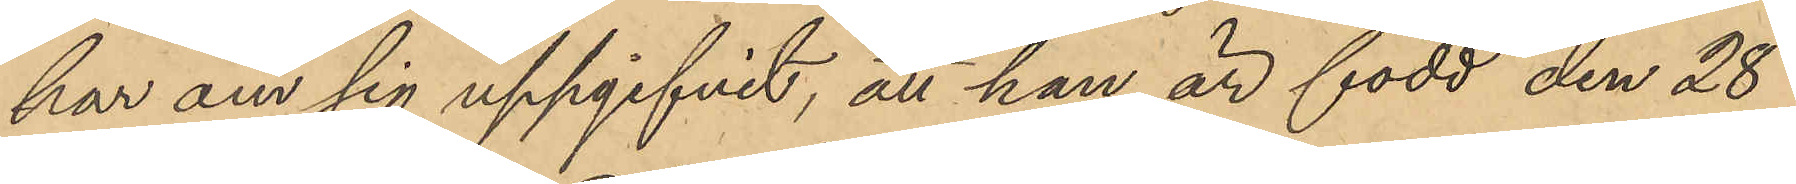har om sig uppgifvit, att han är född den 28
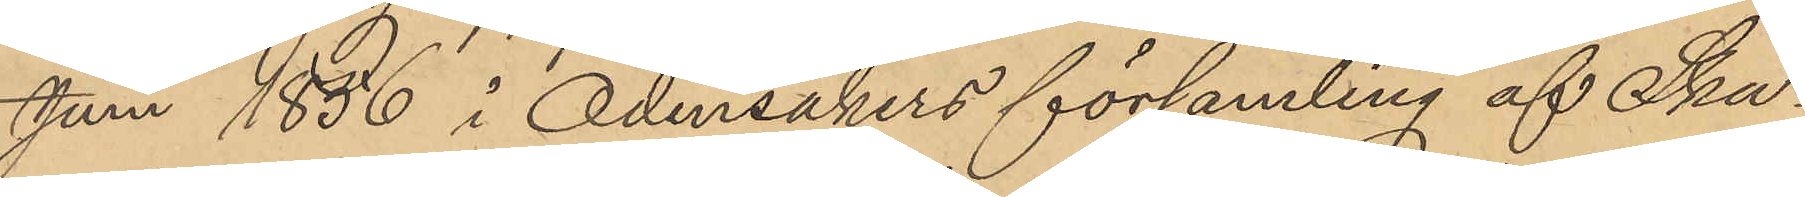Juni 1856 i Odensåkers församling af Ska¬
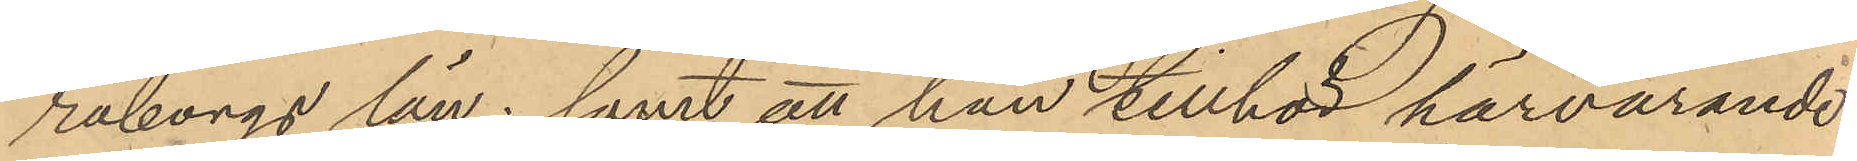raborgs län; samt att han tillhör härvarande
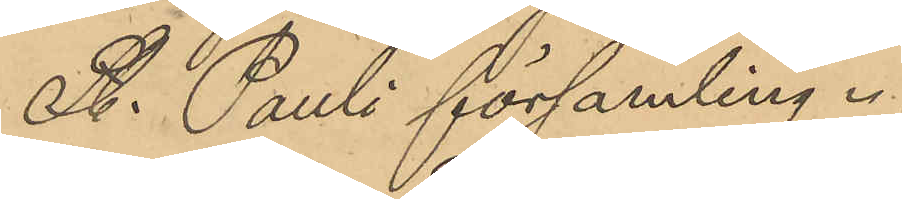St. Pauli församling.
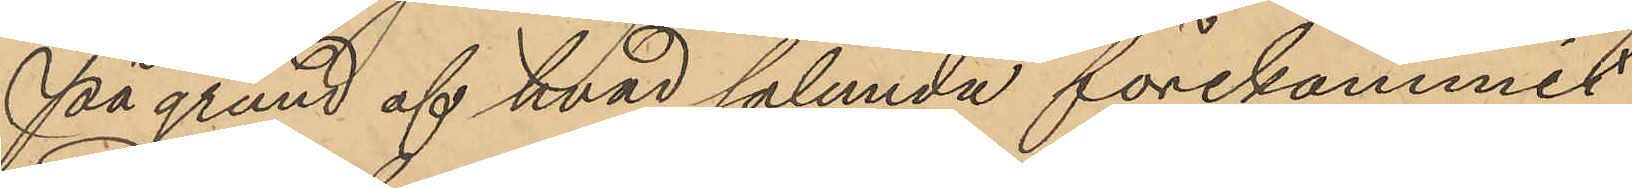På grund af hvad sålunda förekommit
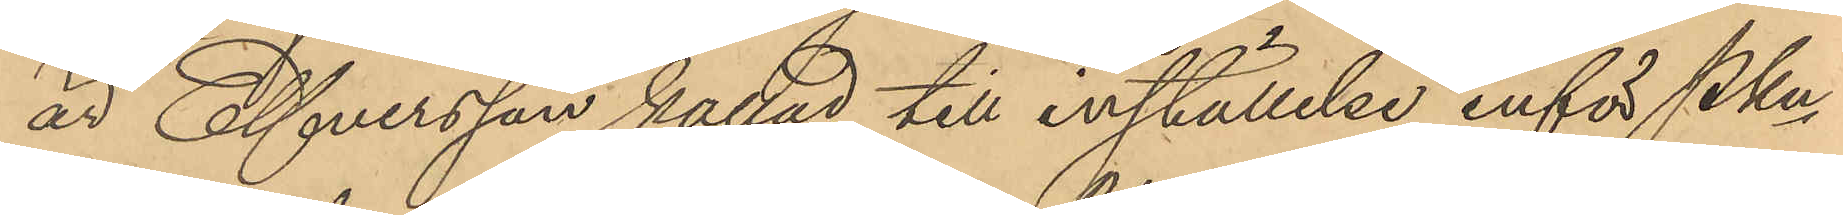är Elfversson kallad till inställelse inför PKn
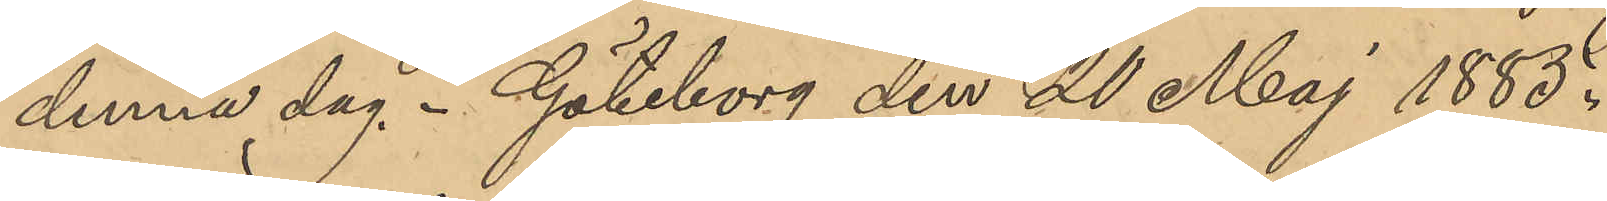denna dag. Göteborg den 20 Maj 1885.
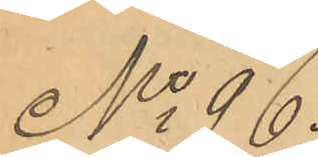No 96.
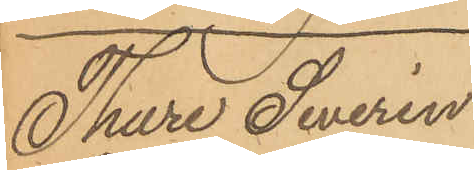Thure Severin
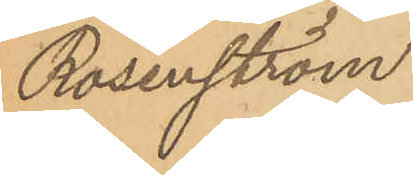Rosenström.
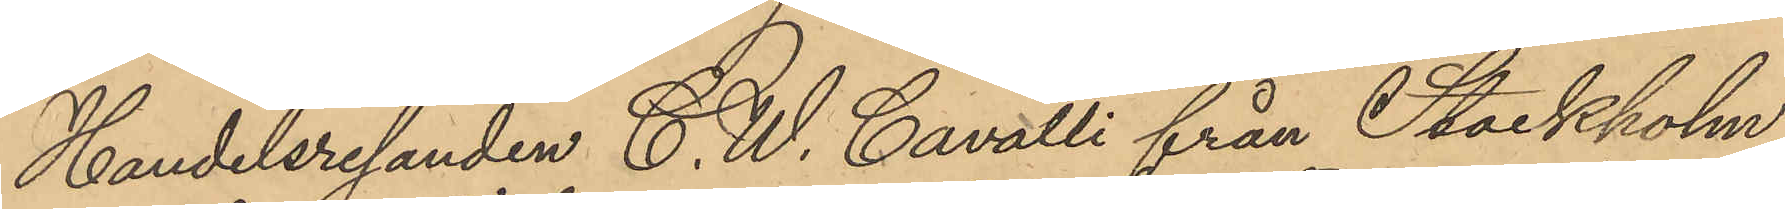Handelsresanden C. W. Cavalli från Stockholm,
